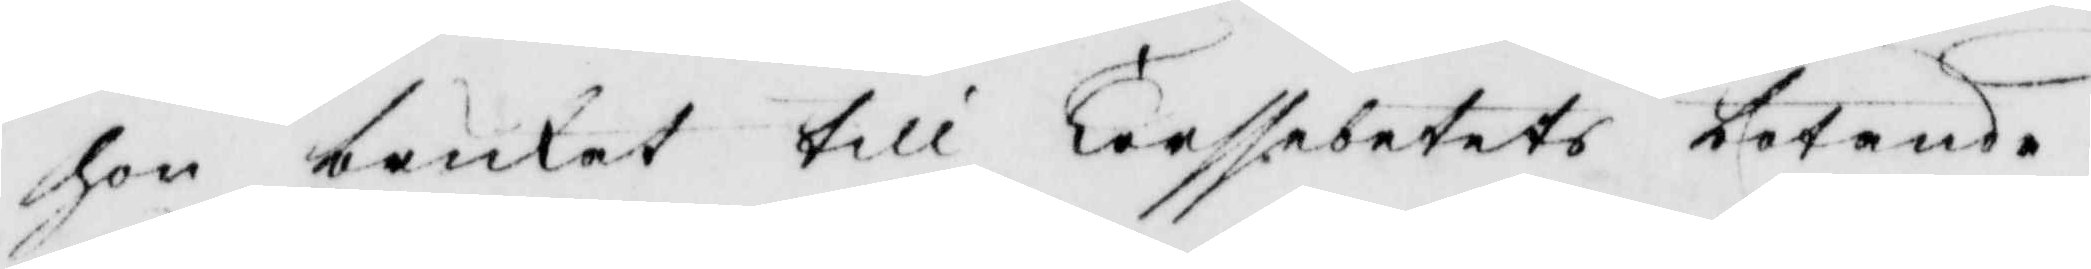hon brukat till Terssebetets botande.
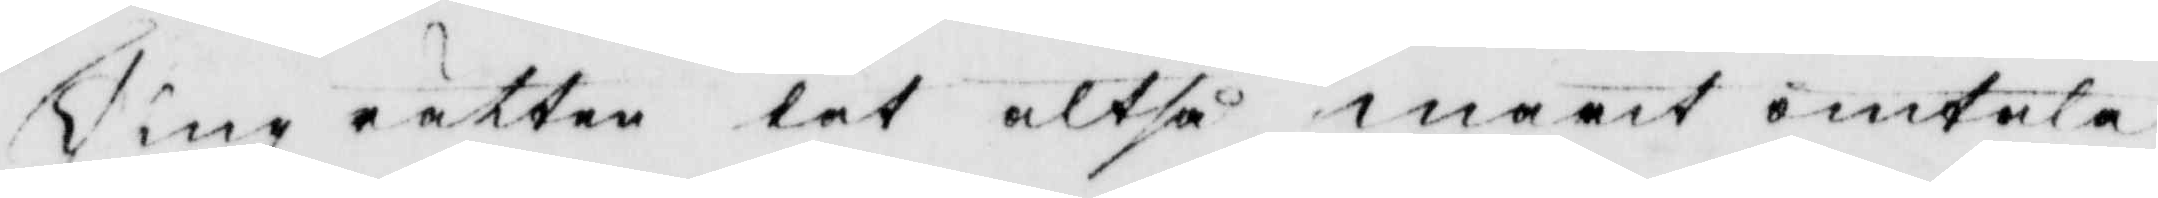Tingsrätten lät altså marit omtala
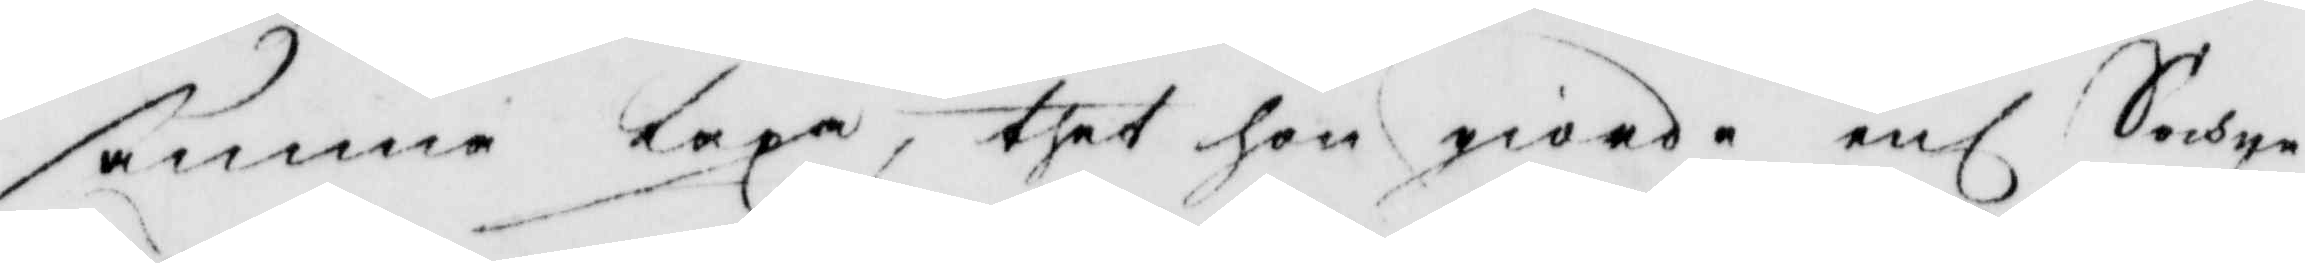samma lexa, thet hon giorde enl Sochne¬
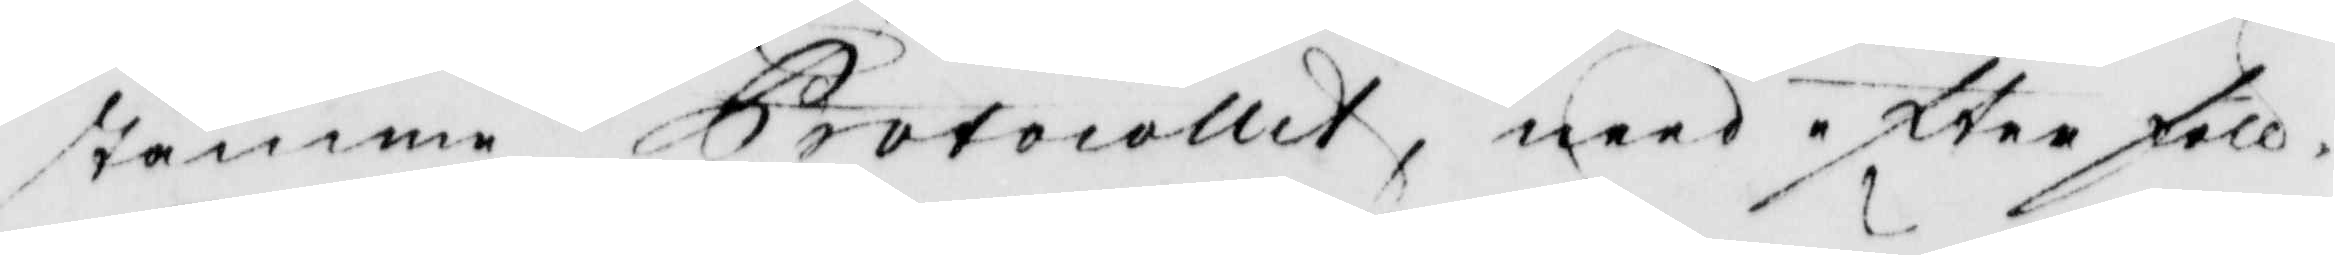stämme Protocollet, med efter föll¬
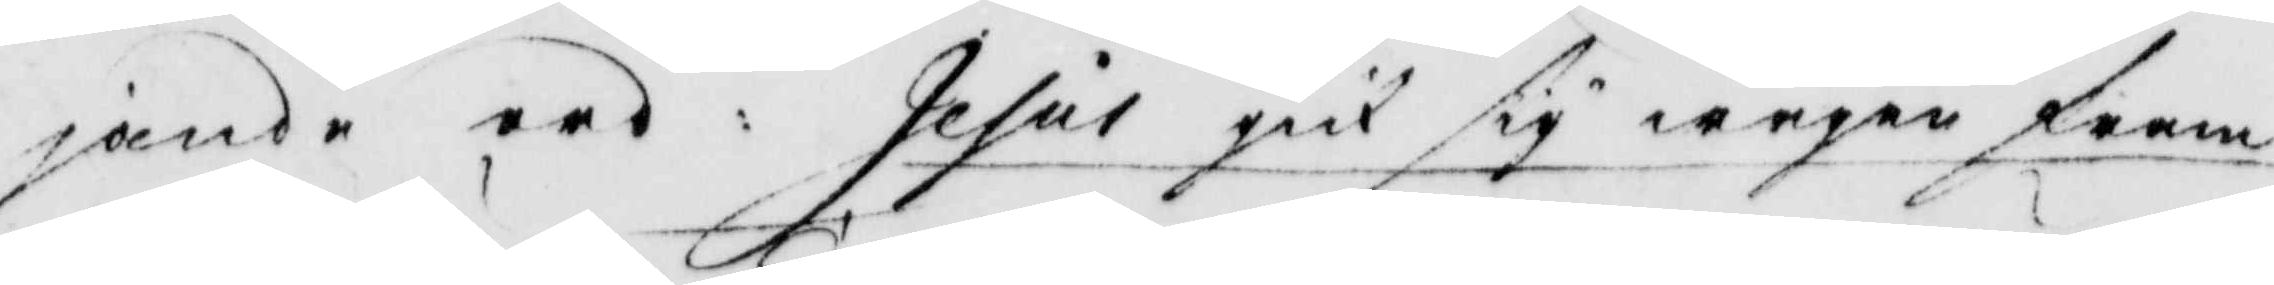jande ord: Jesus gick sig wägen fram
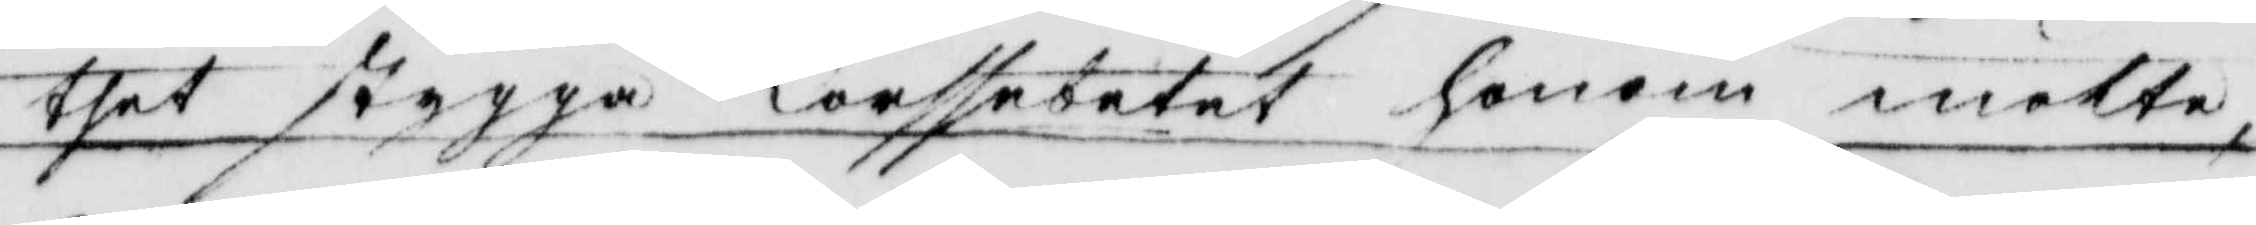thet stygga Torssebetet honom mötte,
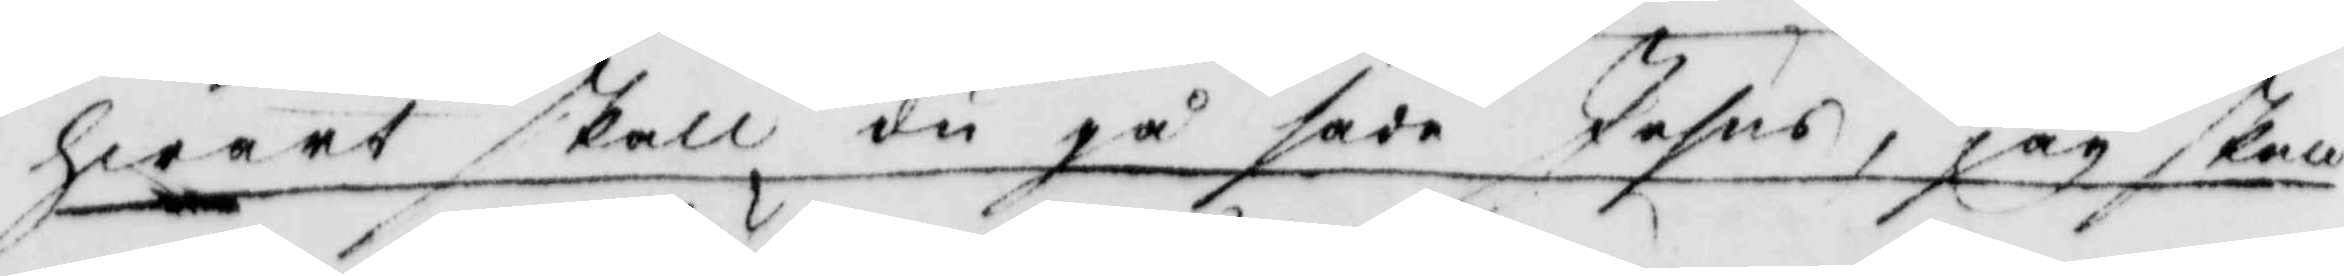hwart skall du gå sade Jesus, jag skall
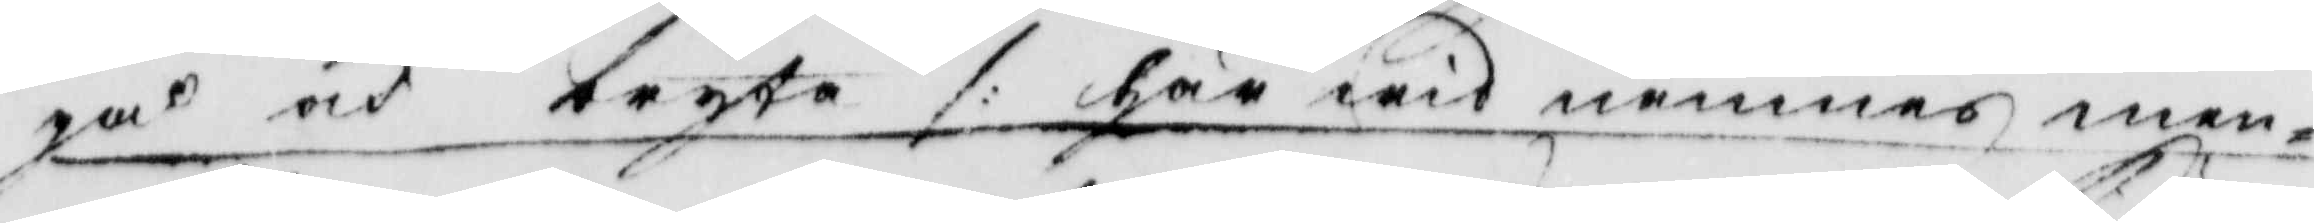gå och bryta /: här wid nämnes men¬
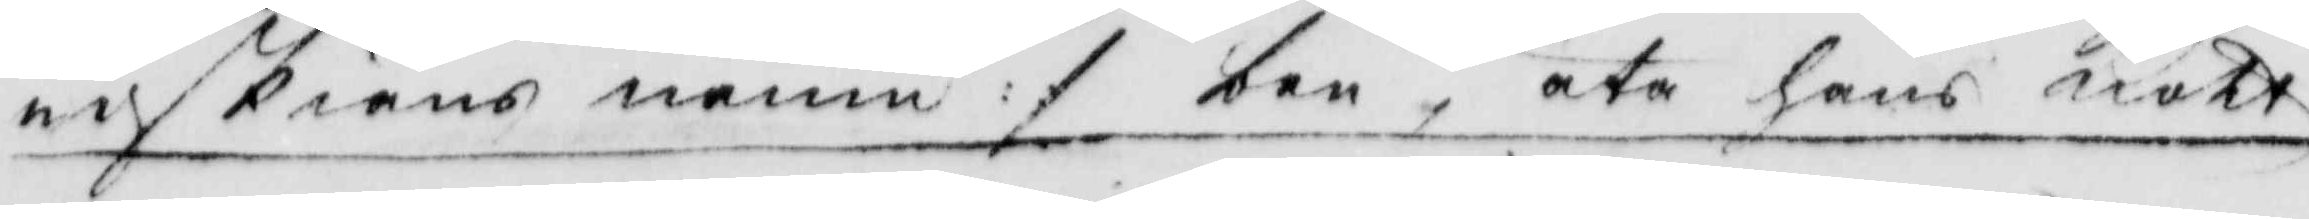niskians namn :/ ben, äta hans kött
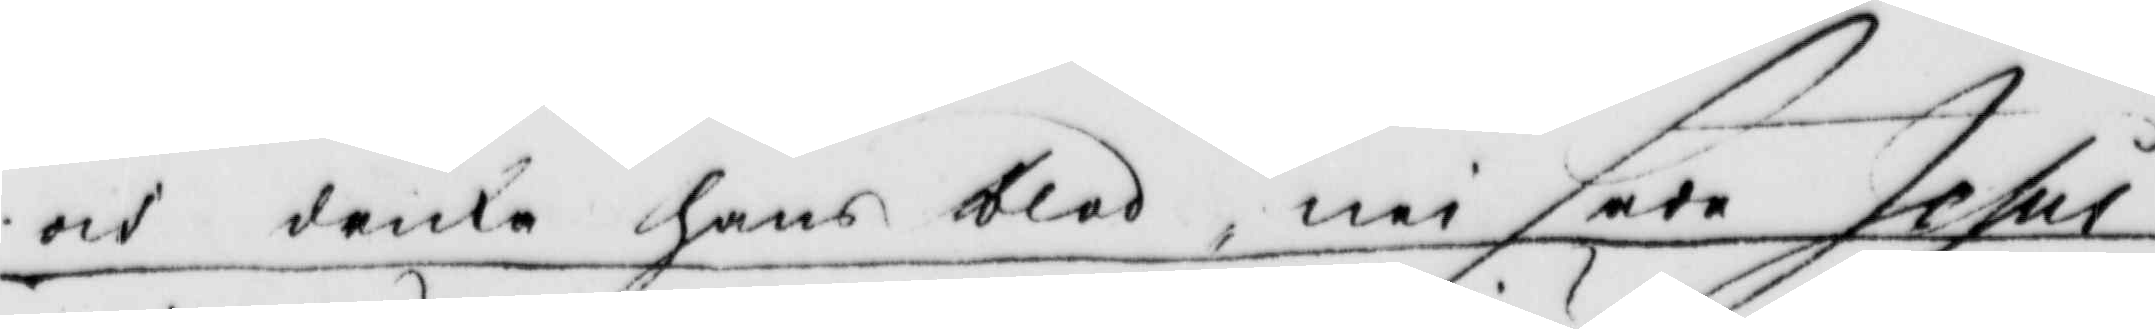och dricka hans blod, nei sade Jesus
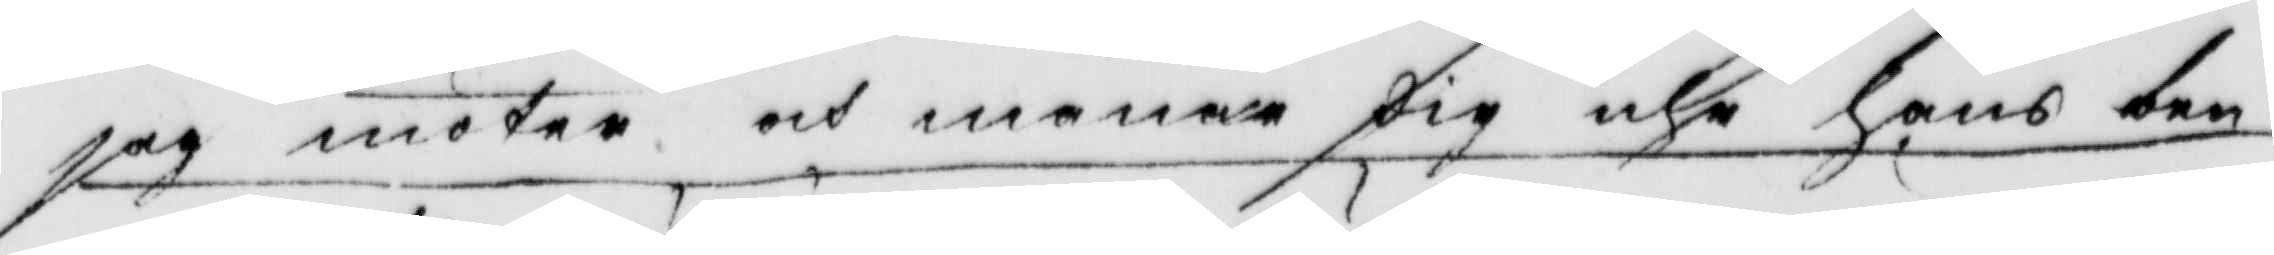jag möter och manar dig uhr hans ben
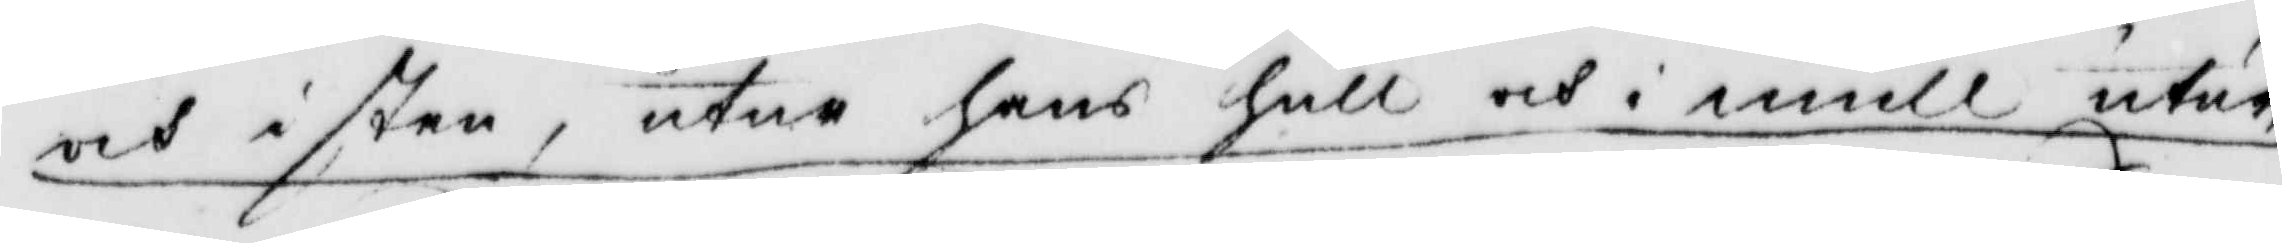och i sten, utur hans hull och i mull, utur
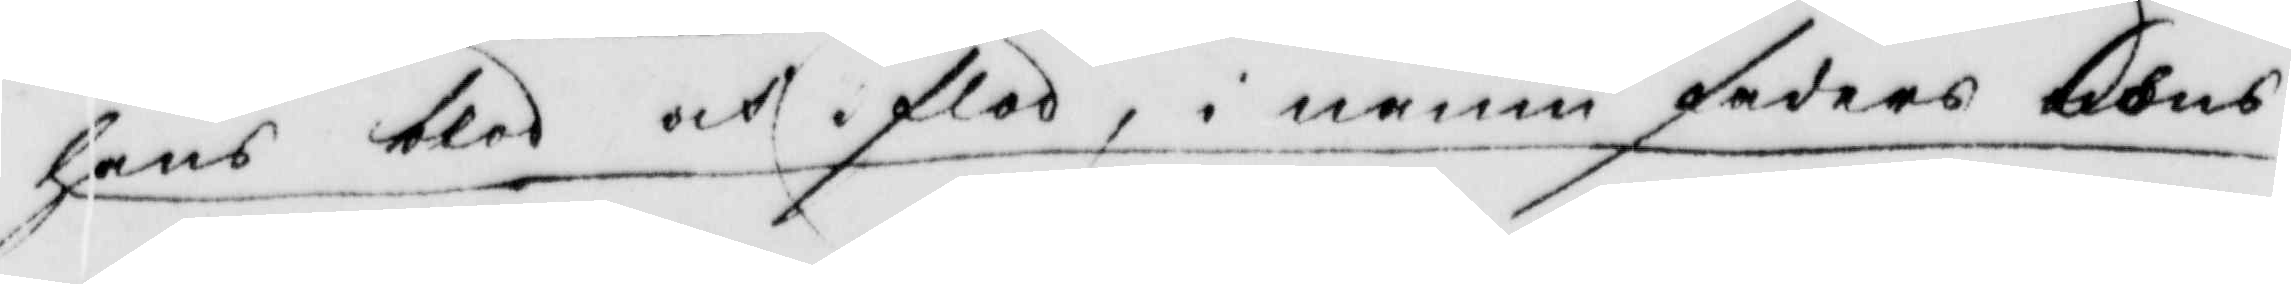hans blod och i flod, i namn faders nons
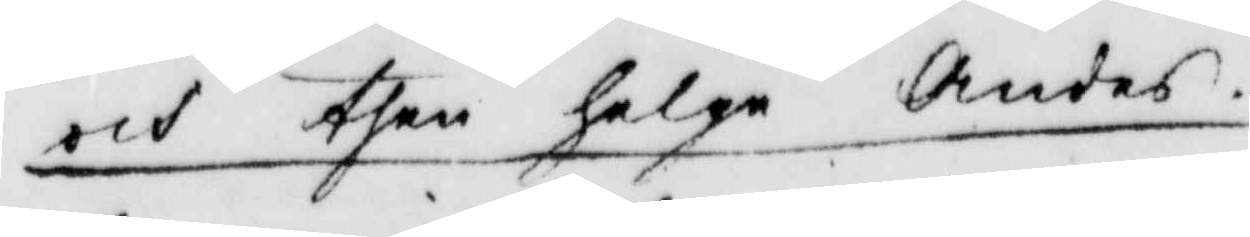och tehn helga Andes.
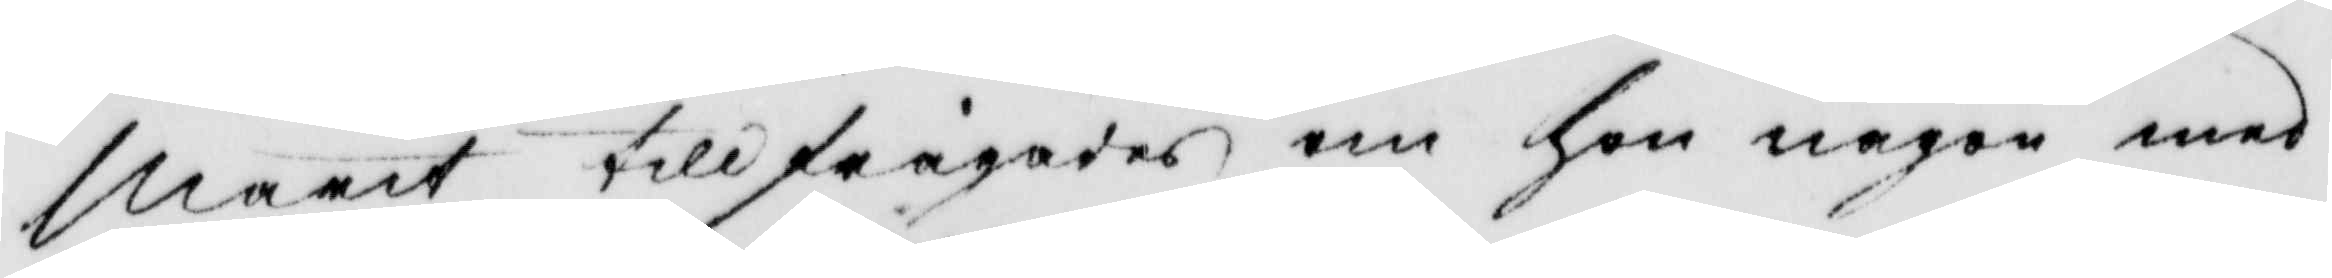marit tillfrågades om hon någon men
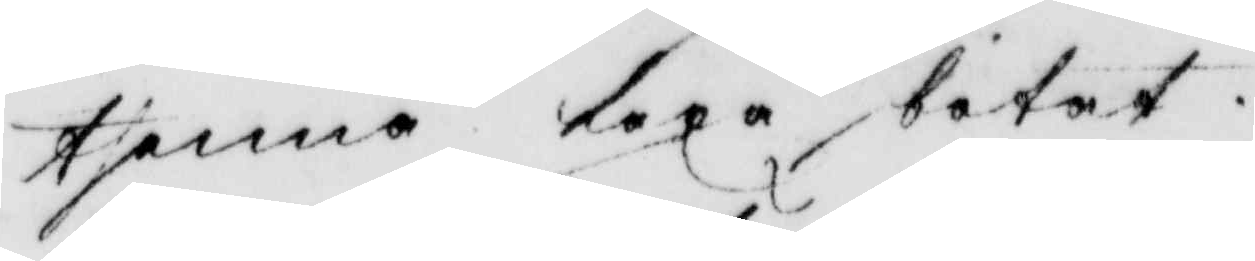thenna lexa botat.
